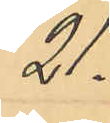21:
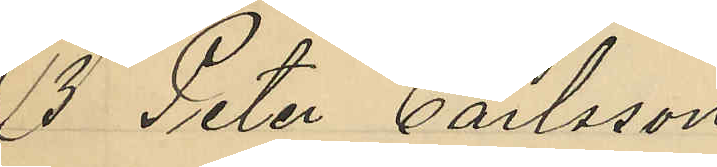18 Peter Carlsson
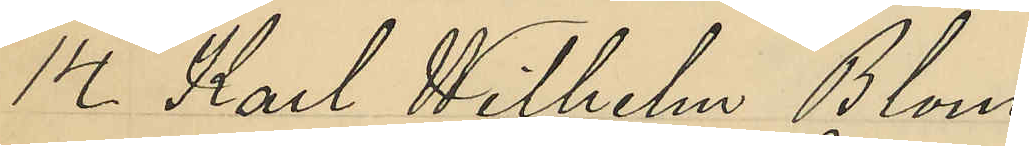14 Karl Wilhelm Blom¬
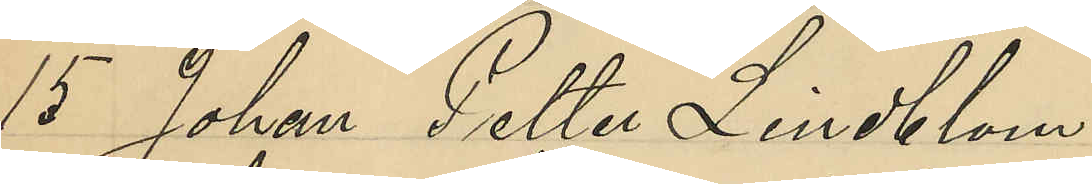15 Johan Petter Lindtsom
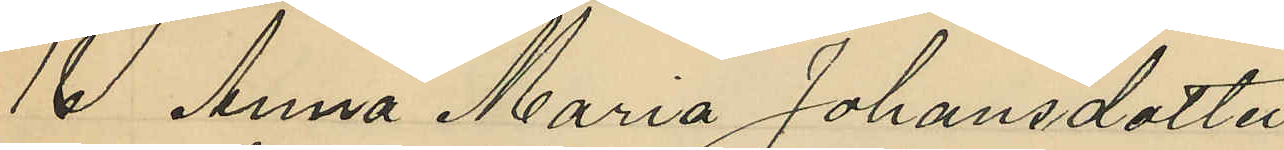16 Anna Maria Johansdotter
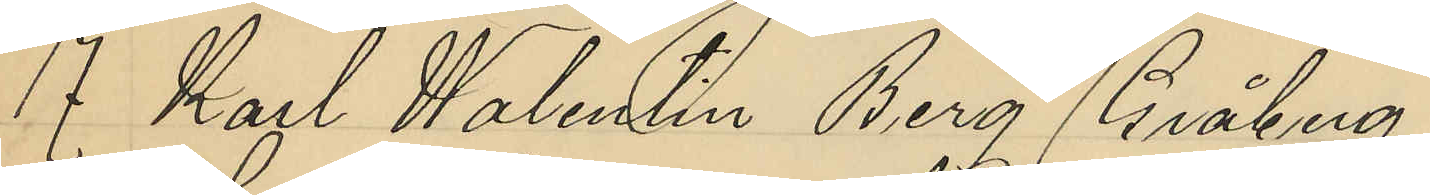J Karl Walenlin Berg Bråberg
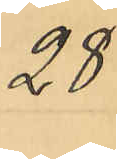28
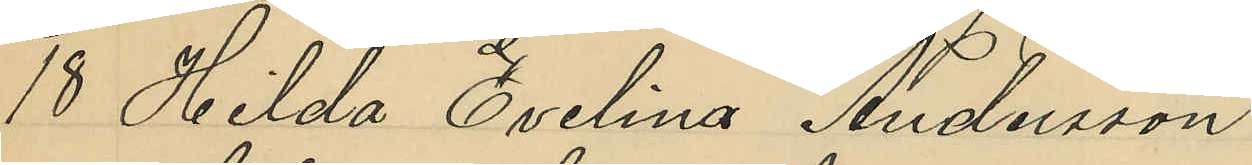18 Hilda Cvelina Andersson
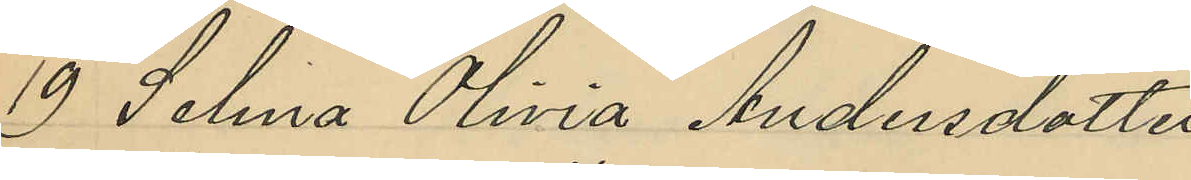18 Selna Olinia Andersdotter
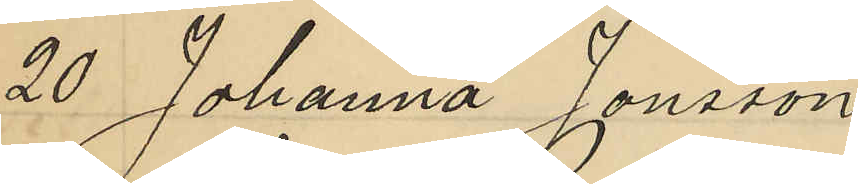20 Johanna Jonsson
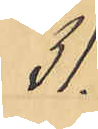11
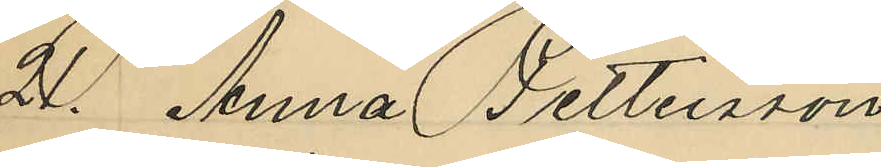2o Anna Petteursson
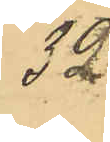32
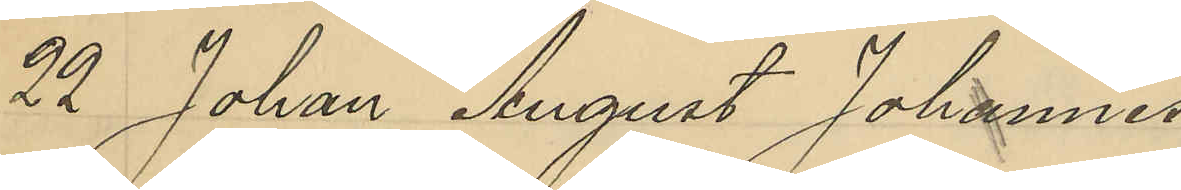2o Johan August Johannes
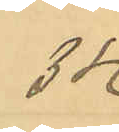3k
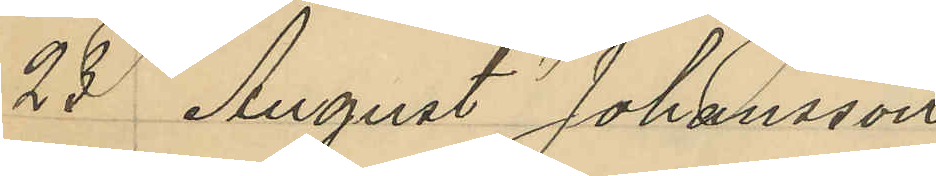28 August Johansson
